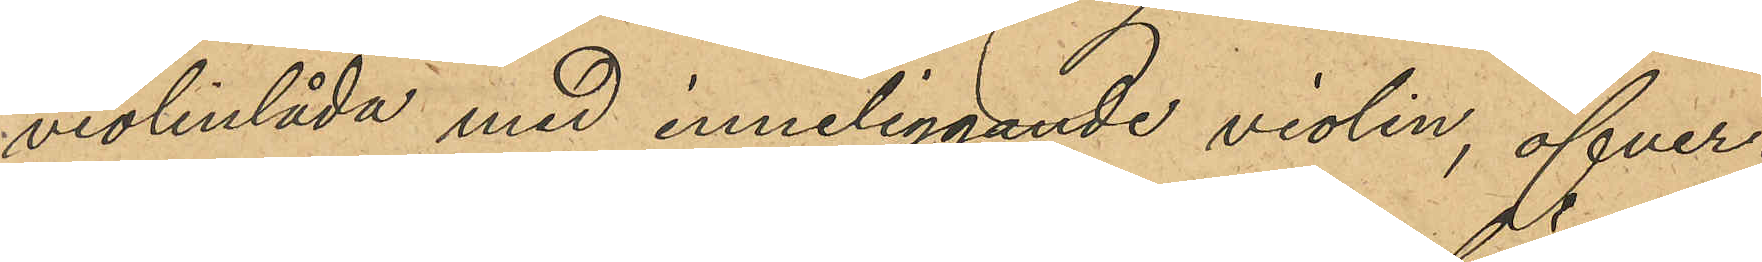violinlåda med inneliggande violin, öfver¬
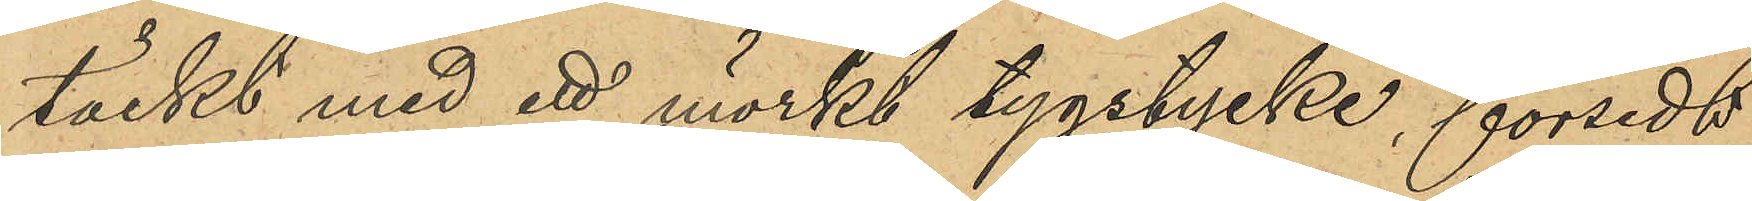täckt med ett mörkt tygstycke, försedt
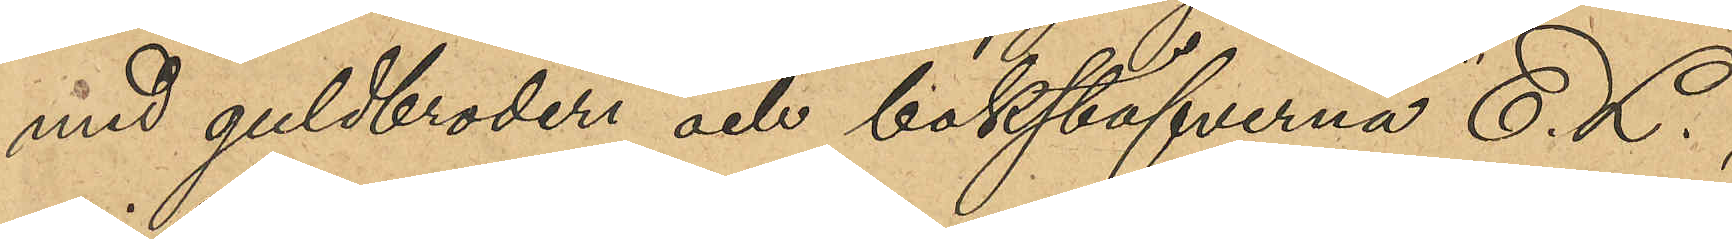med guldbroderi och bokstäfverna "E. L.",
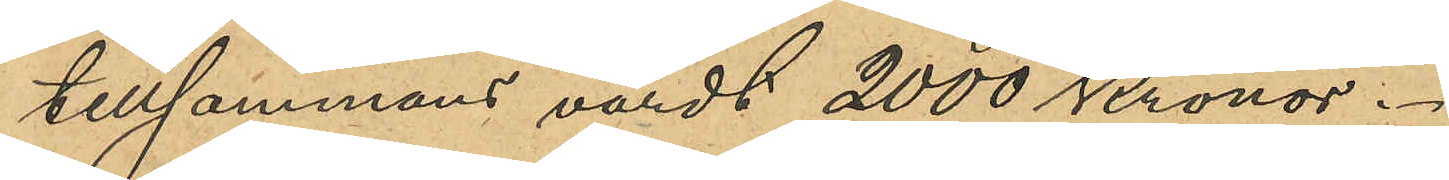tillsammans värdt 2,000 Kronor.
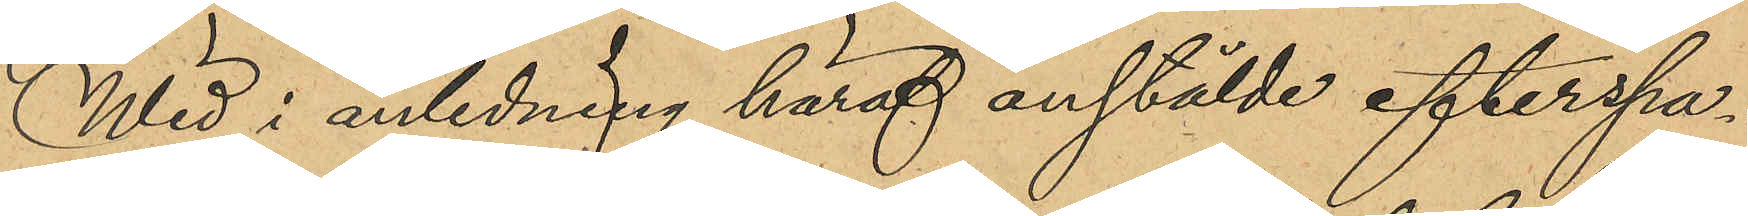Wid i anledning häraf anstälde efterspa¬
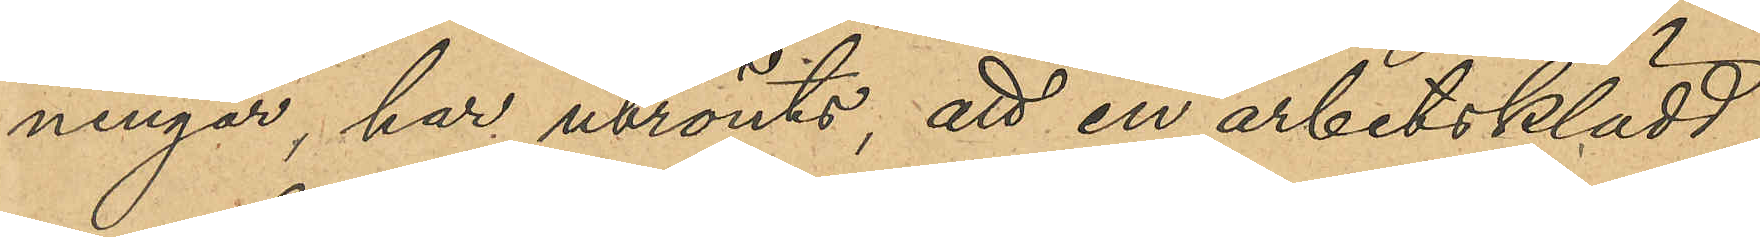ningar, har utrönts, att en arbetsklädd
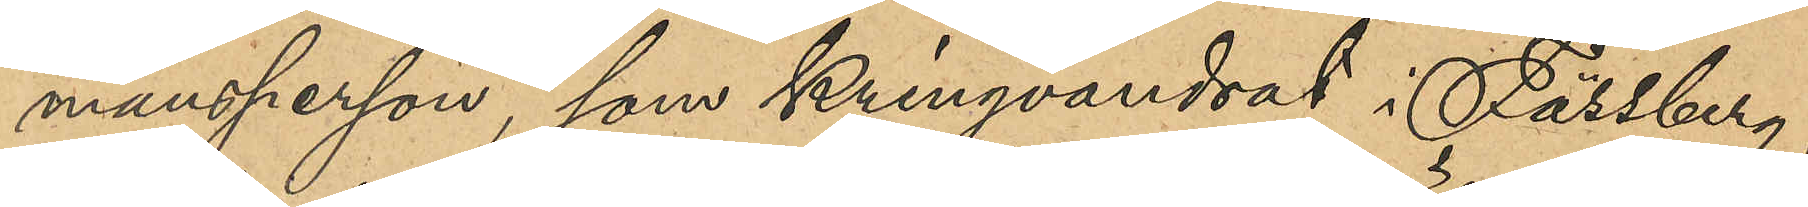mansperson, som kringvandrat i Fässberg,
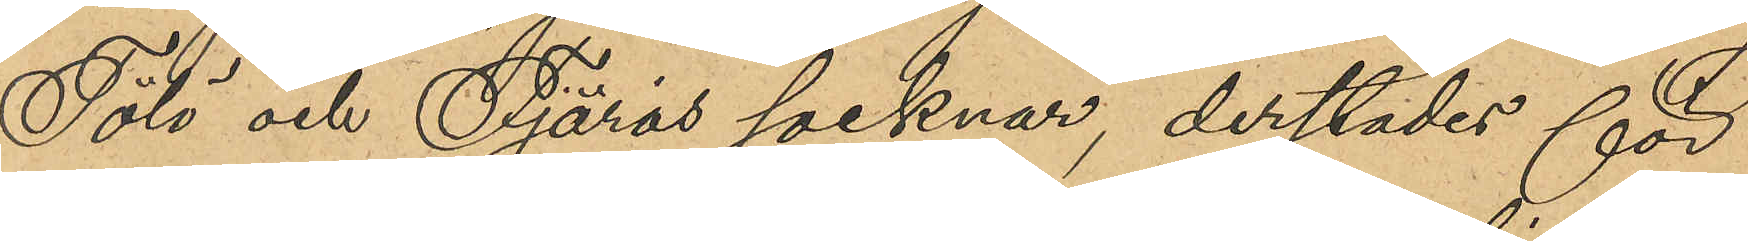Tölö och Fjärås socknar, derstädes för
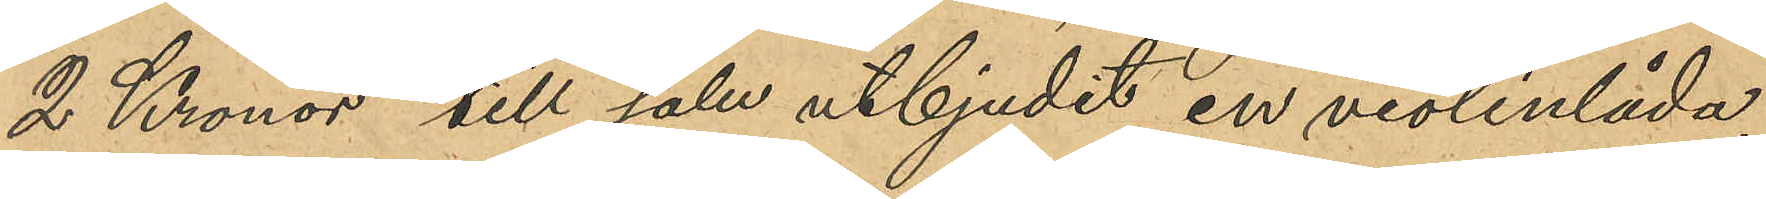2 Kronor till salu utbjudit en violinlåda,
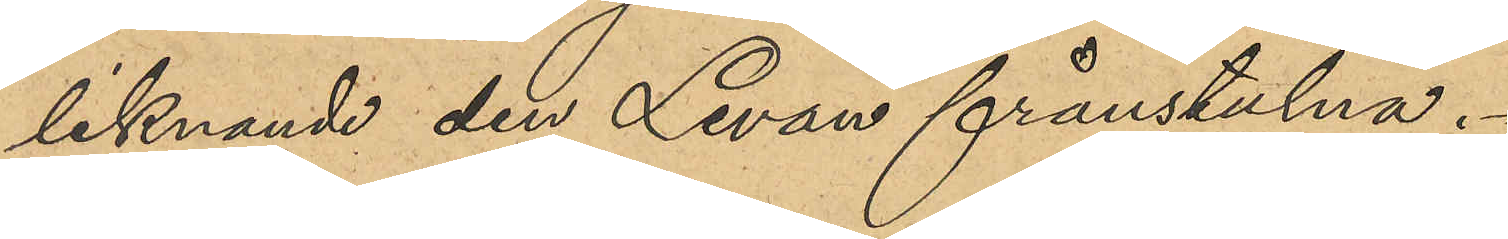liknande den Levan frånstulna.
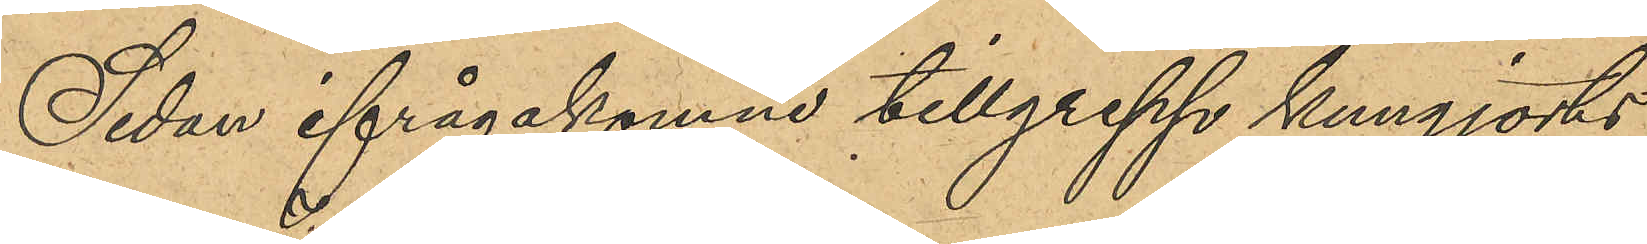Sedan ifrågakomne tillgrepp kungjorts
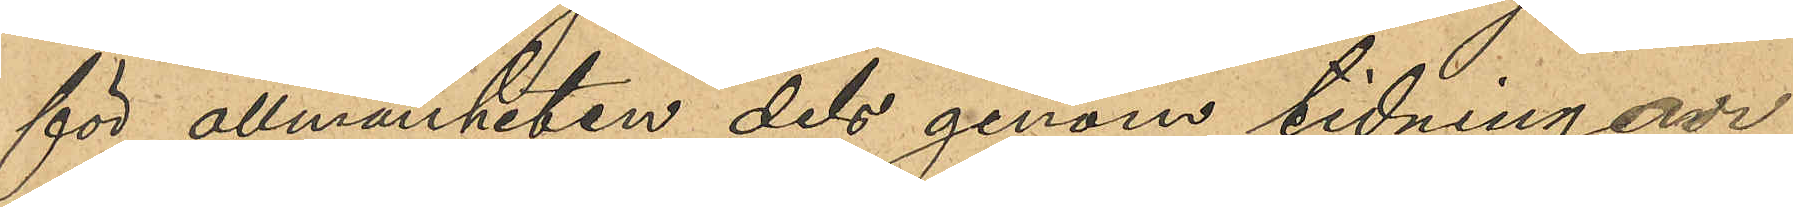för allmänheten dels genom tidningar,
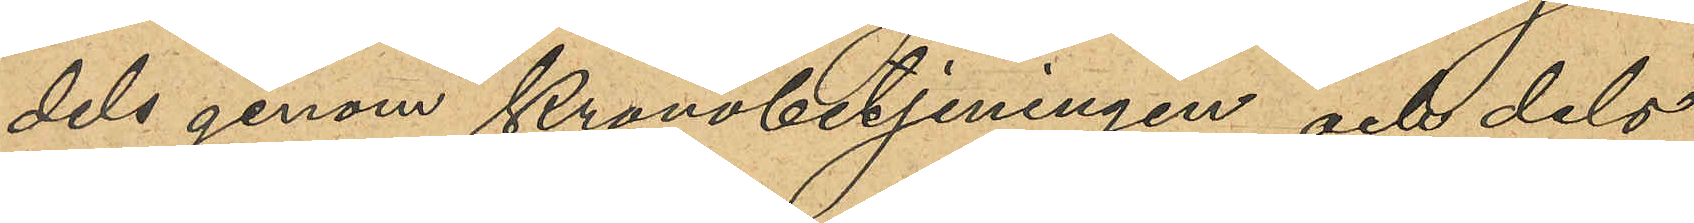dels genom Kronobetjeningen och dels
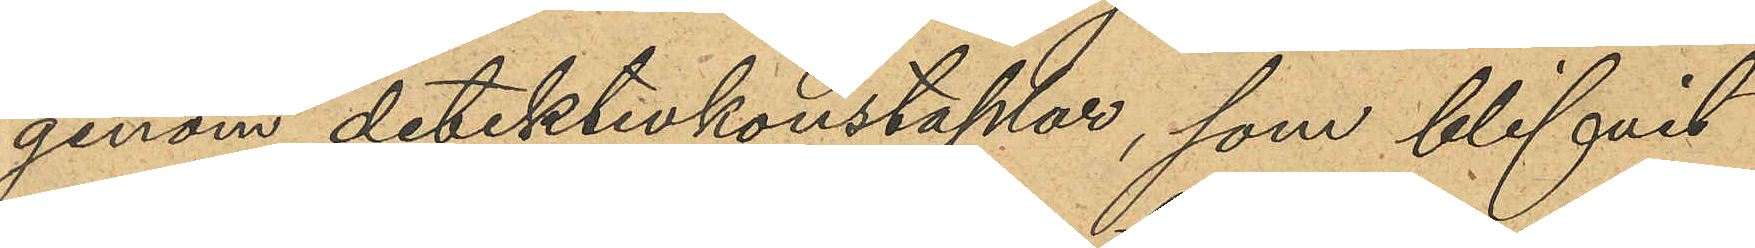genom detektivkonstaplar, som blifvit
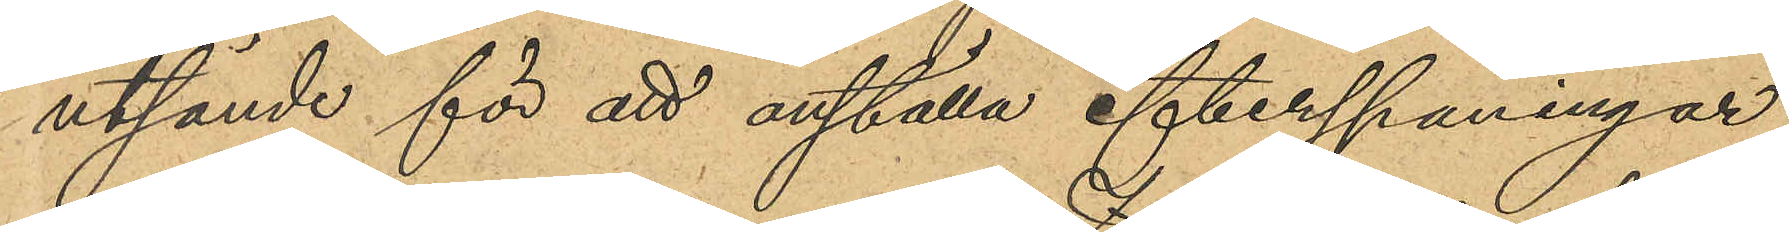utsände för att anställa efterspaningar,
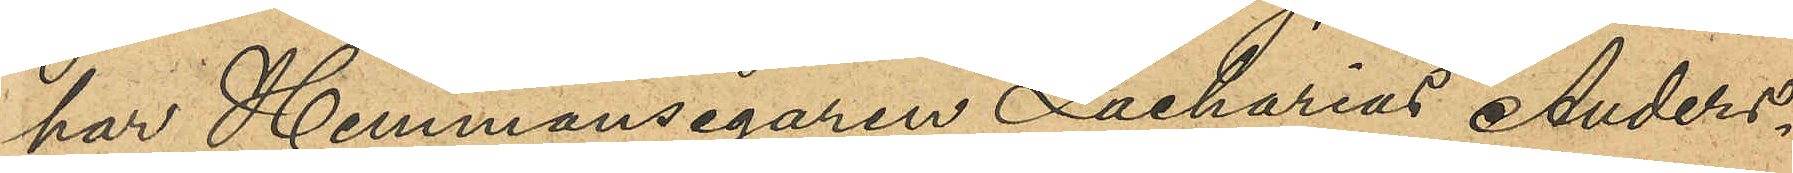har Hemmansegaren Zacharias Anders¬
